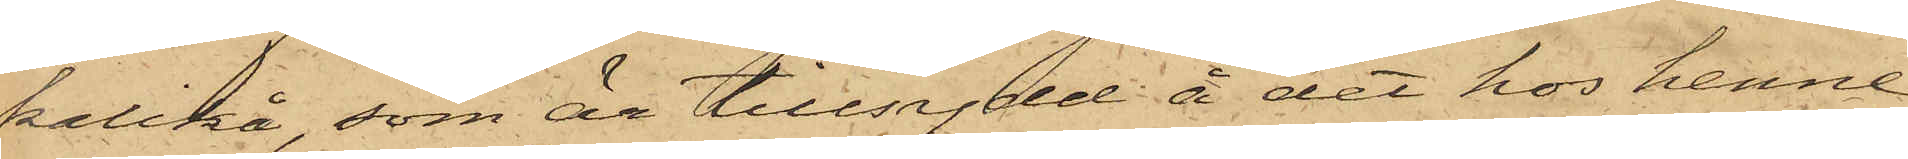kalikå, som är tillsydd å det hos henne
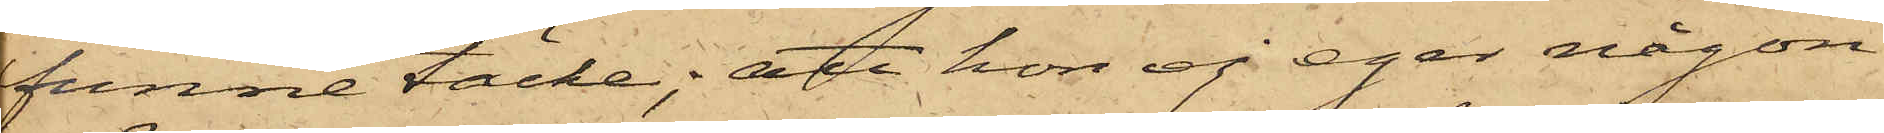funne täcke; att hon ej eger någon
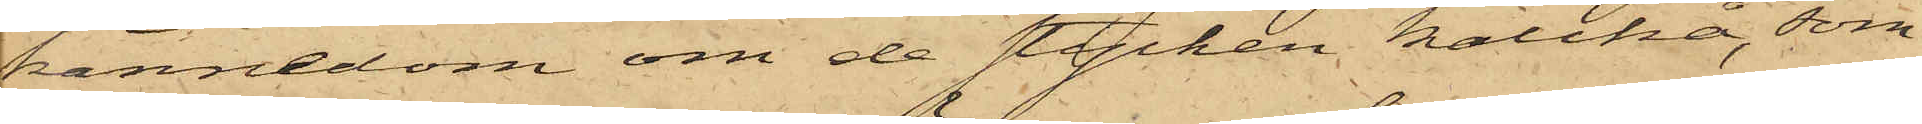kännedom om de stycken kalikå, som
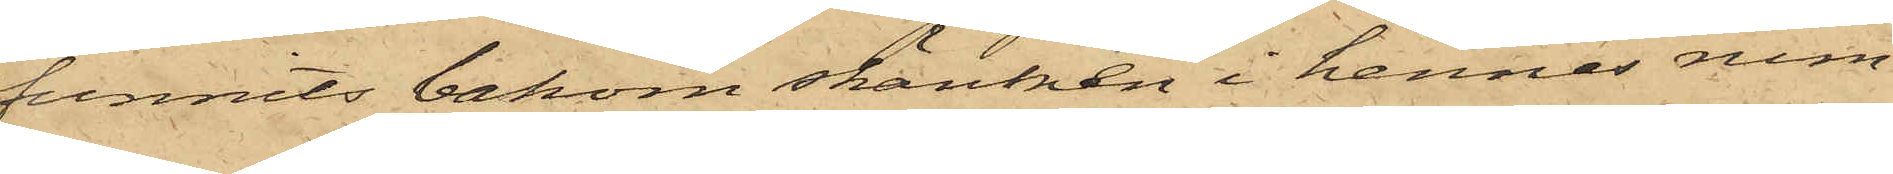funnits bakom skänken i hennes rum
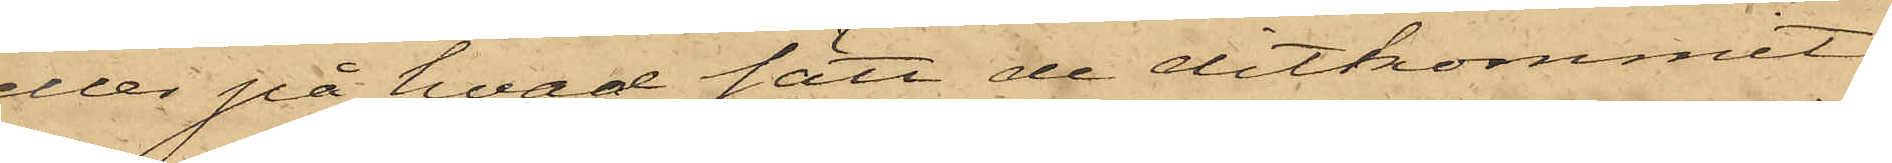eller på hvad sätt de ditkommit;
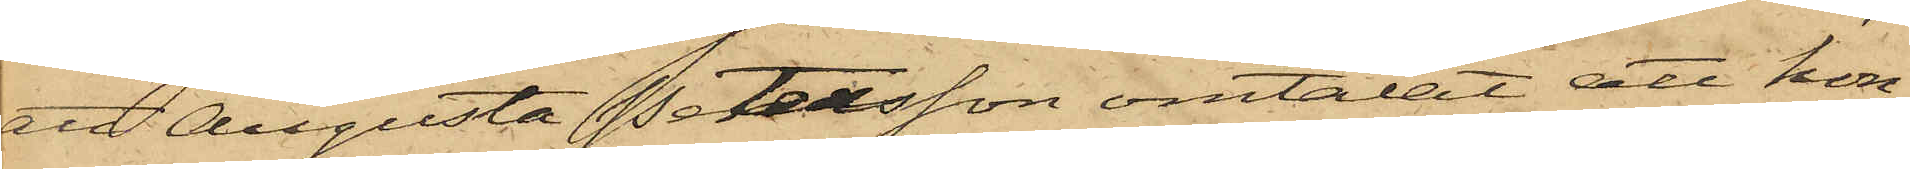att Augusta Petersson omtalat att hon
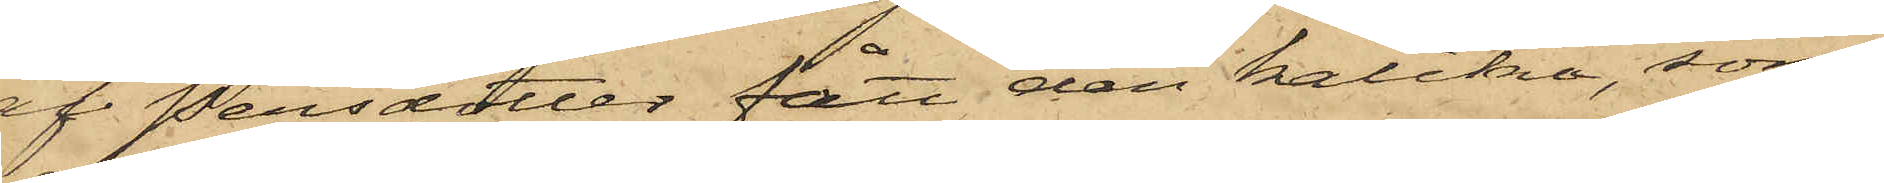af Persdotter fått den kalikå, som
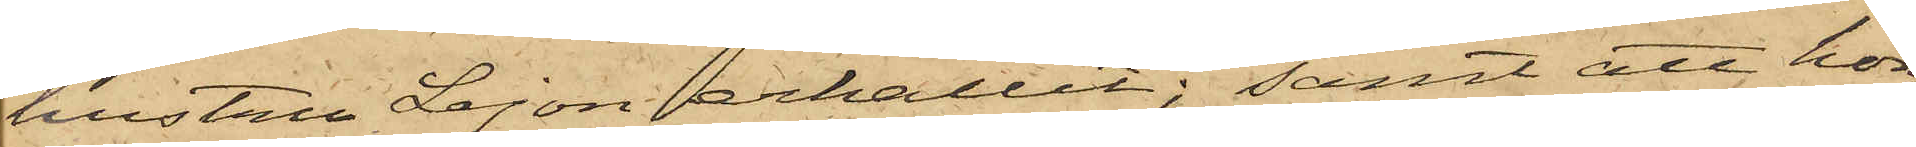hustru Lejon erhållit; samt att hon
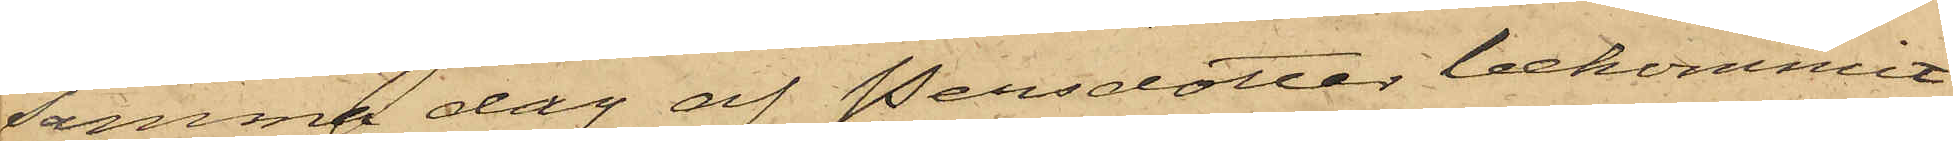samma dag af Persdotter bekommit
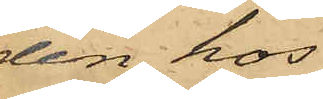den hos
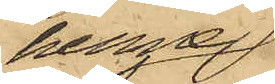henne
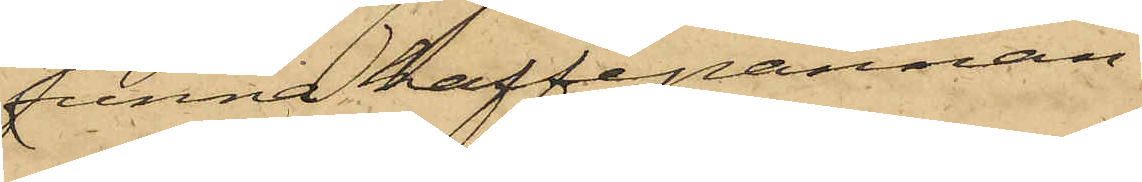funna kaffekannan.
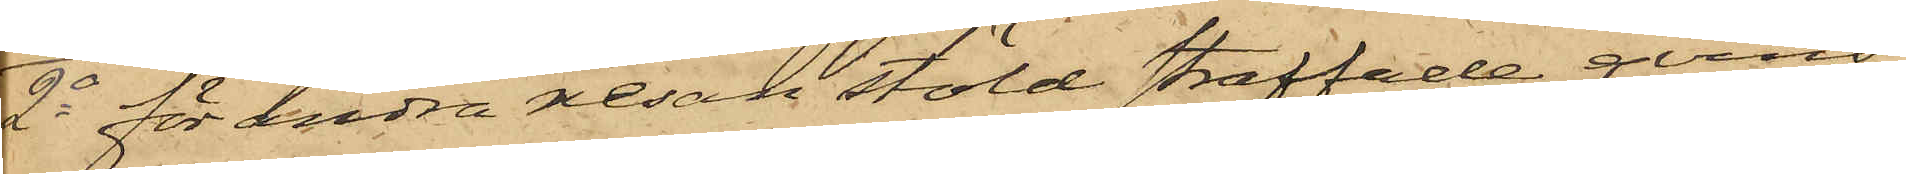2o för andra resan stöld straffade qvins¬
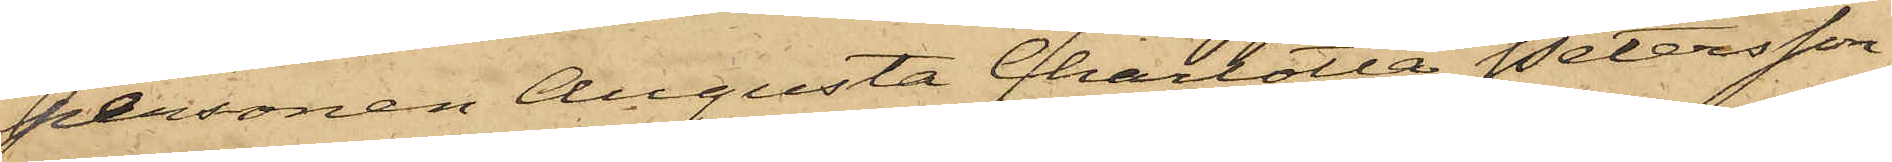personen Augusta Charlotta Petersson
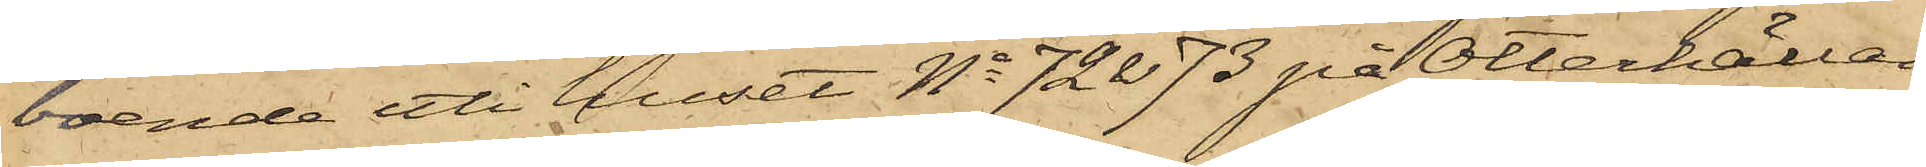boende uti huset No 72 & 73 på Otterhällan,
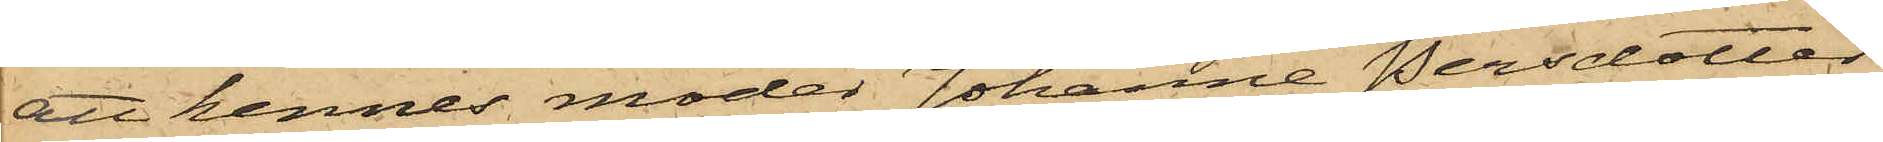att hennes moder Johanna Persdotter
